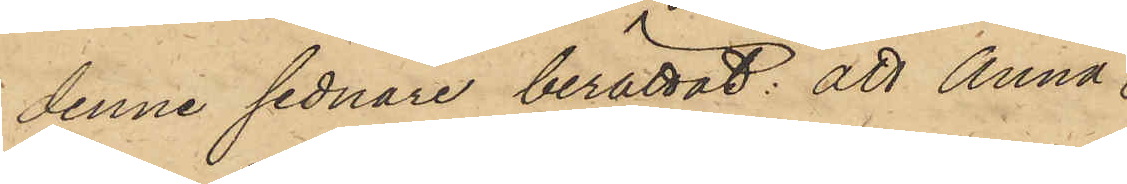denne sednare berättat: att Anna
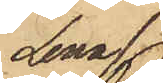Lena
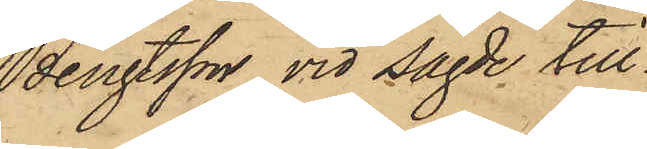Bengtsson vid sagde till¬
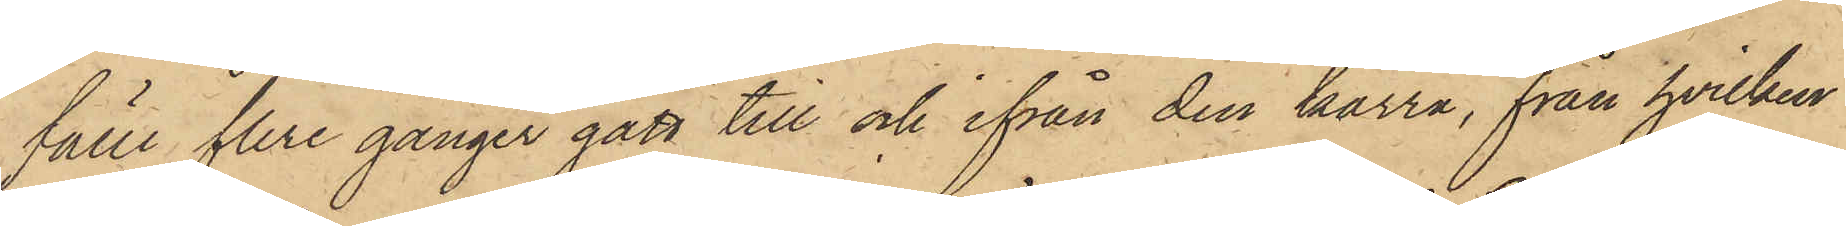fälle flere gånger gått till och ifrån den kärra, från hvilken
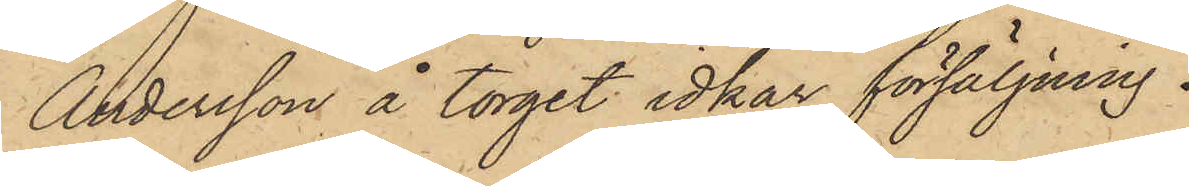Andersson å torget idkar försäljning,
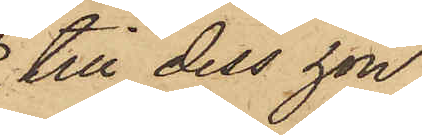till dess hon
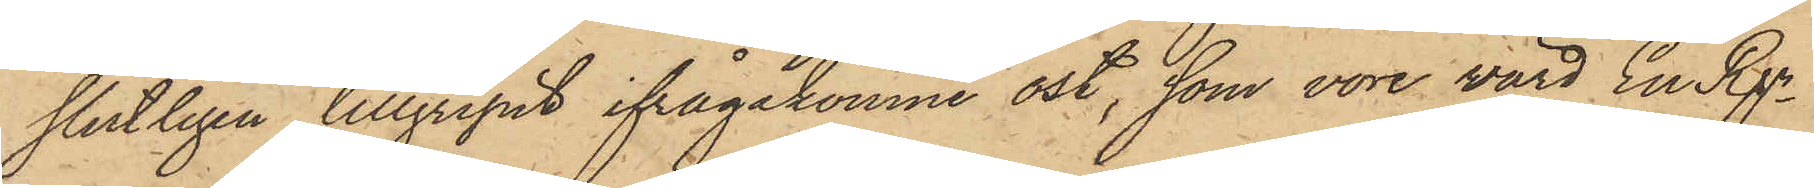slutligen tillgripit ifrågakomne ost, som vore värd En Rgr
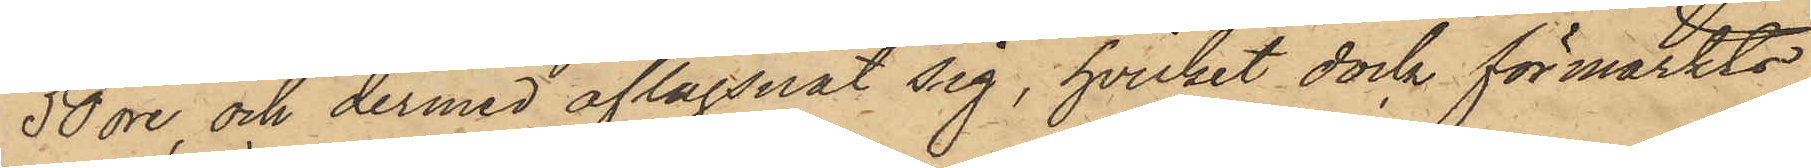50 öre, och dermed aflägsnat sig, hvilket dock förmärkts
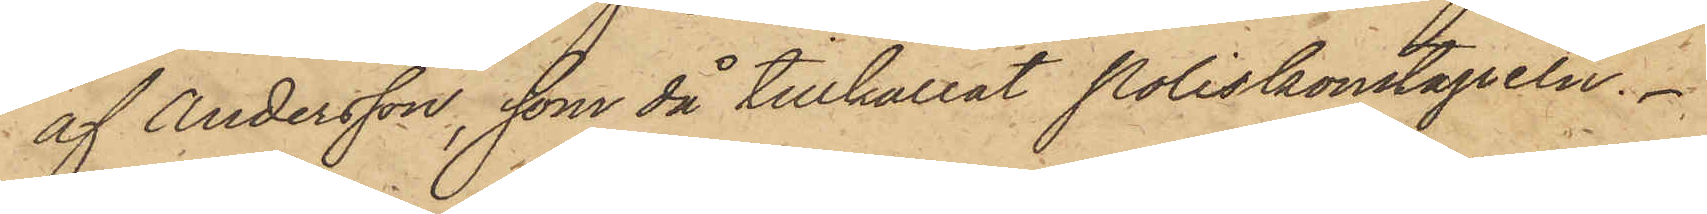af Andersson, som då tillkallat Poliskonstapeln.
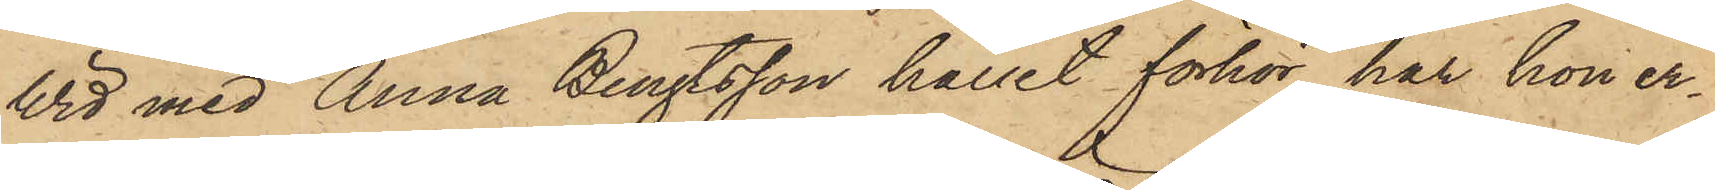Wid med Anna Bengtsson hållit förhör har hon er¬
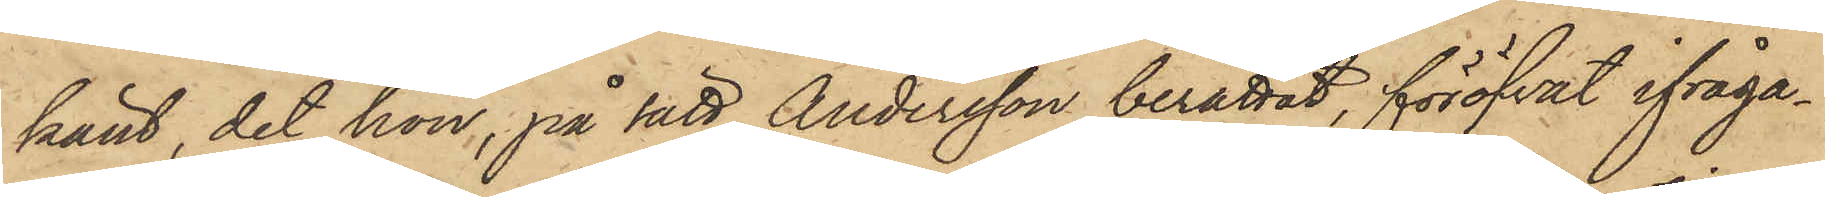känt, det hon, på sätt Andersson berättat, föröfvat ifråga¬
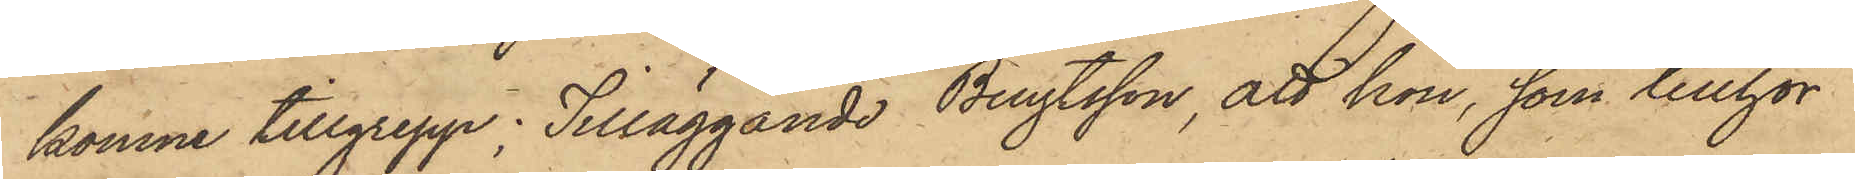komne tillgrepp; Tilläggande Bengtsson, att hon, som tillhör
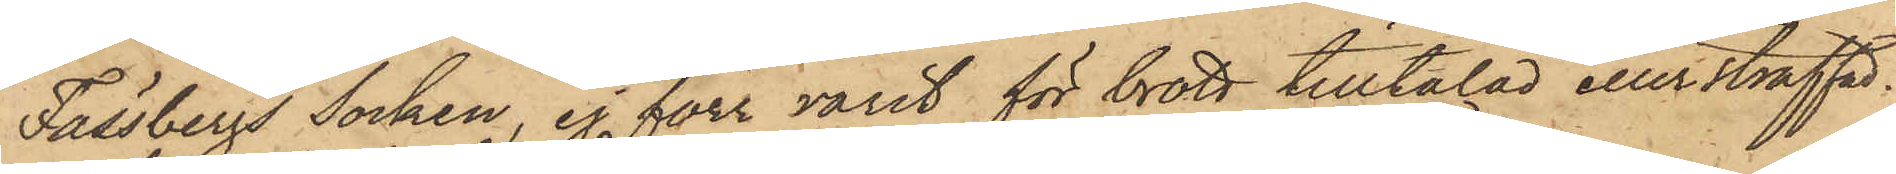Fässbergs Socken, ej förr varit för brott tilltalad eller straffad.
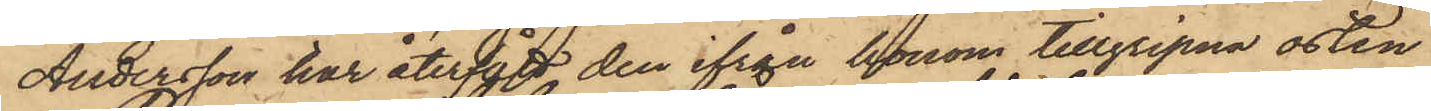Andersson har återfått den ifrån honom tillgripna osten.
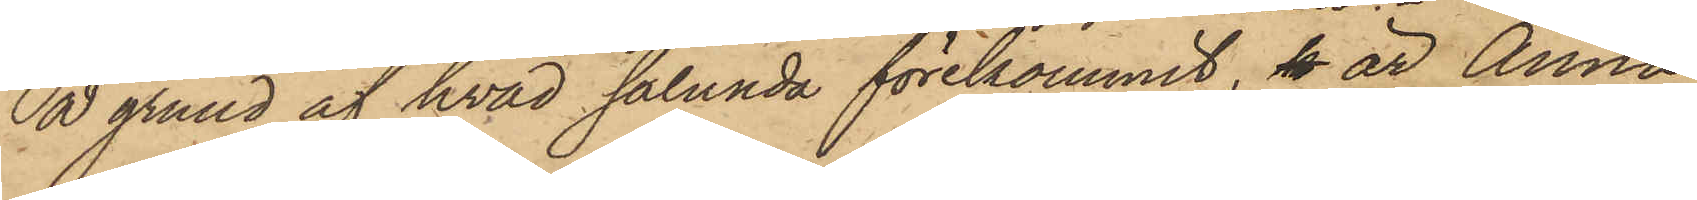På grund af hvad sålunda förekommit, k är Anna
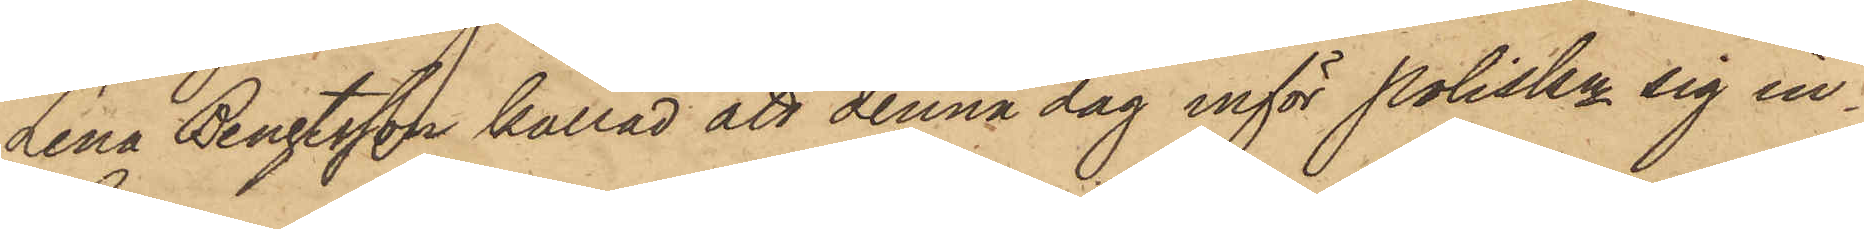Lena Bengtsson kallad att denna dag inför Poliskn sig in¬
